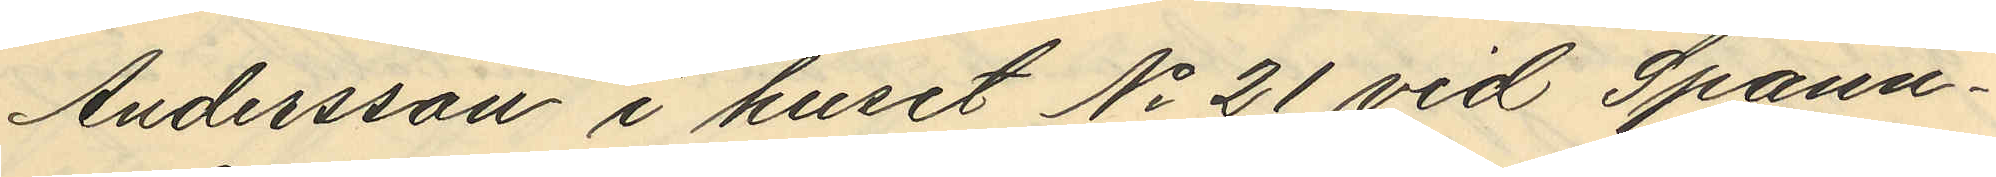Andersson i huset No 21 vid Spann¬
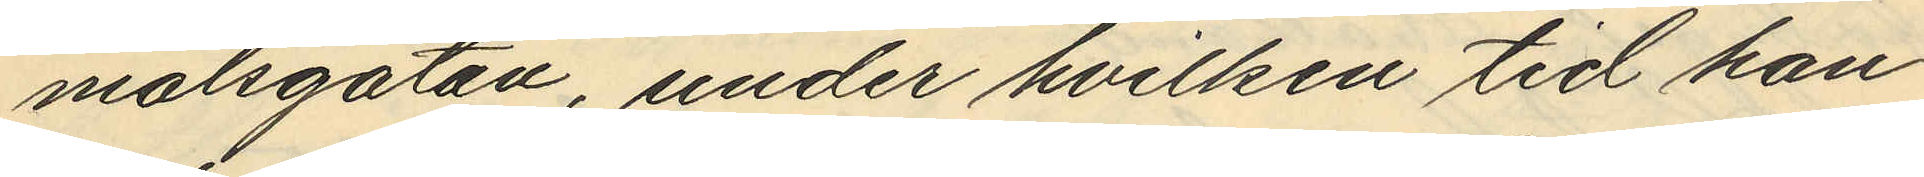målsgatan, under hvilken tid han
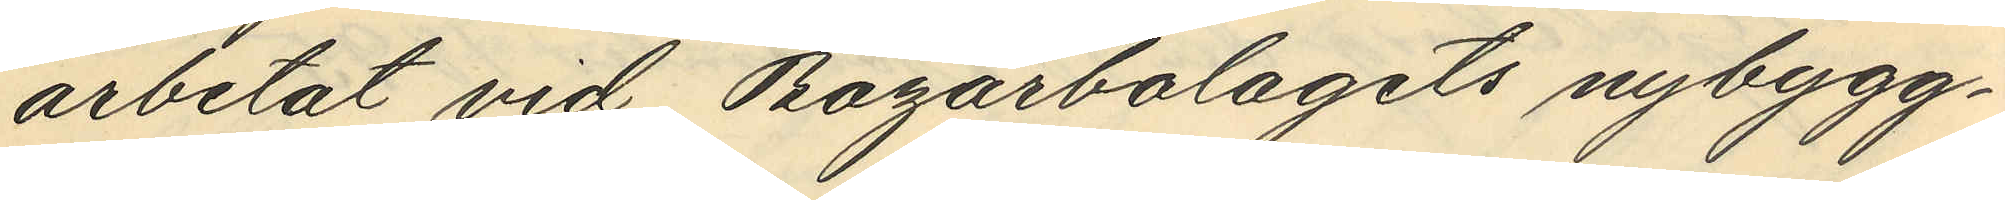arbetat vid Bagarbolagets nybygg¬
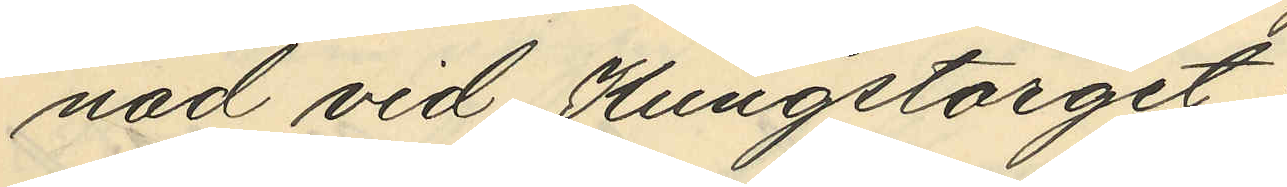nad vid Kungstorget
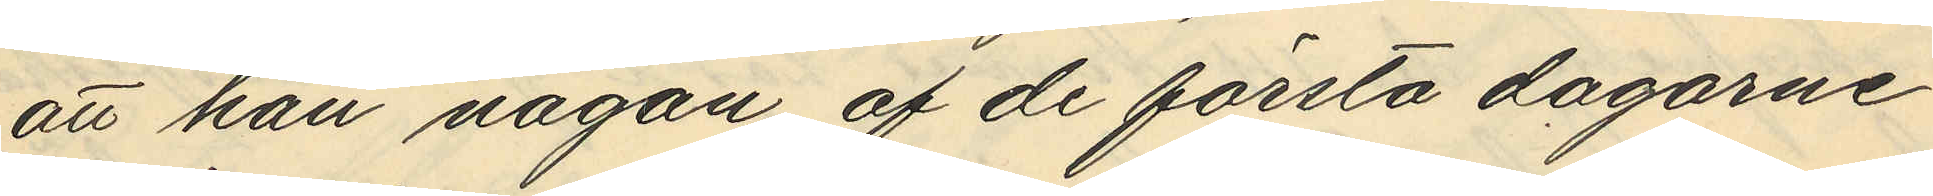att han någon af de första dagarne
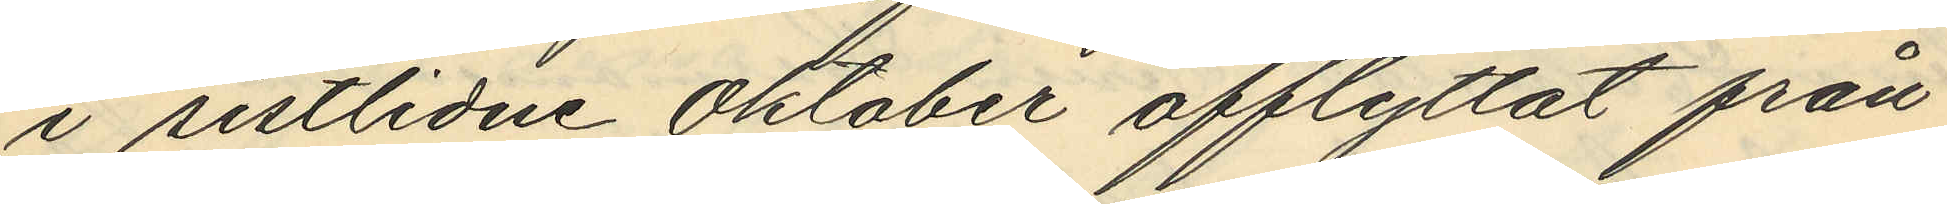i sistlidne Oktober afflyttat från
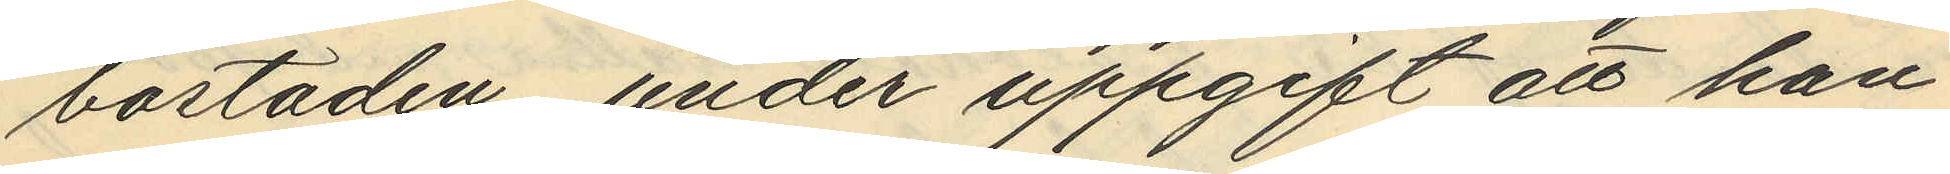bostaden, under uppgift att han
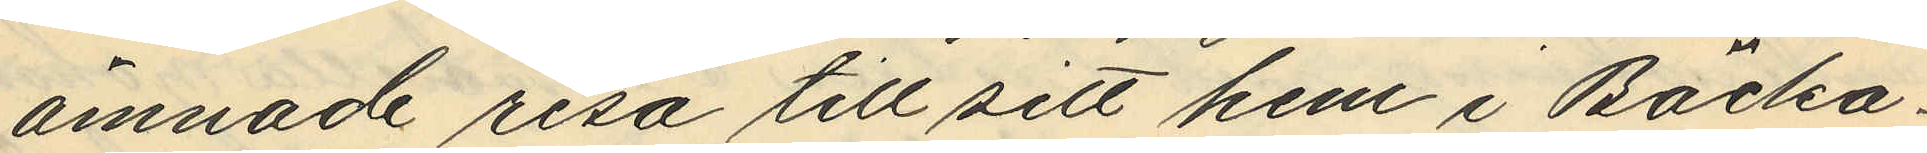ämnade resa till sitt hem i Backa¬
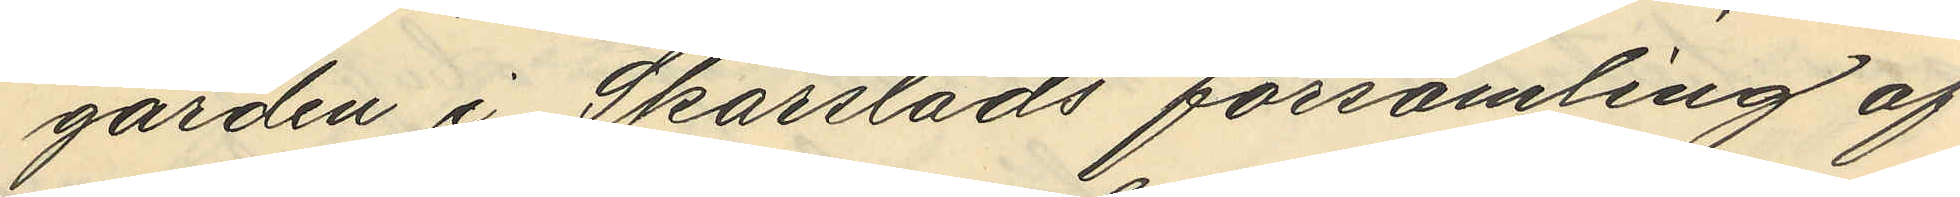gården i Skärstads församling af
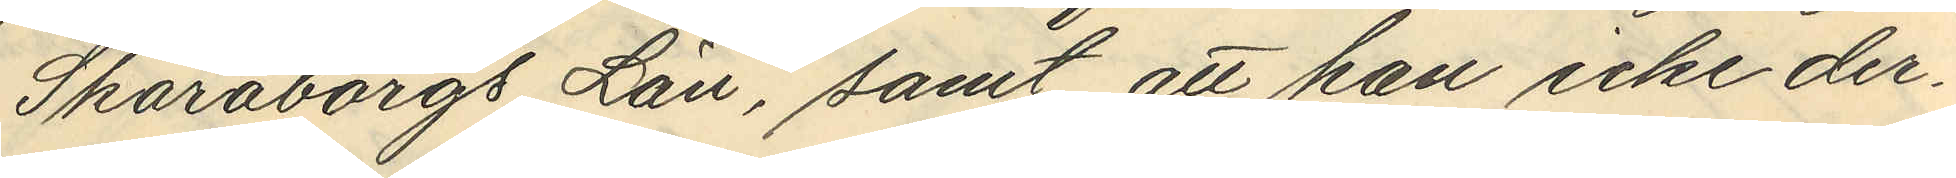Skaraborgs Län, samt att han icke der¬
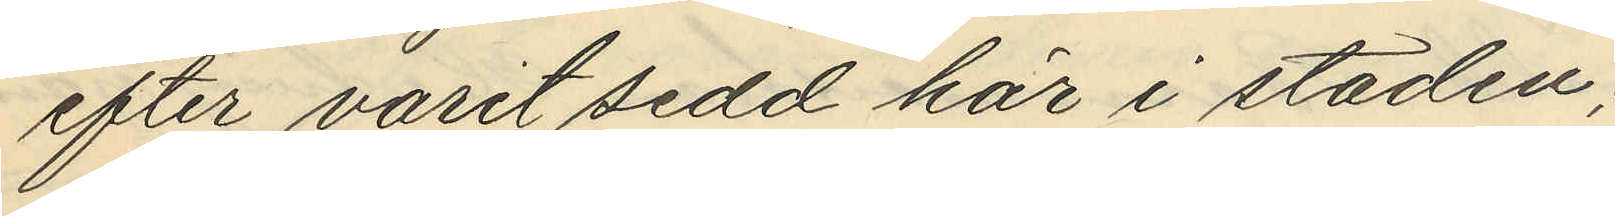efter varit sedd här i staden,
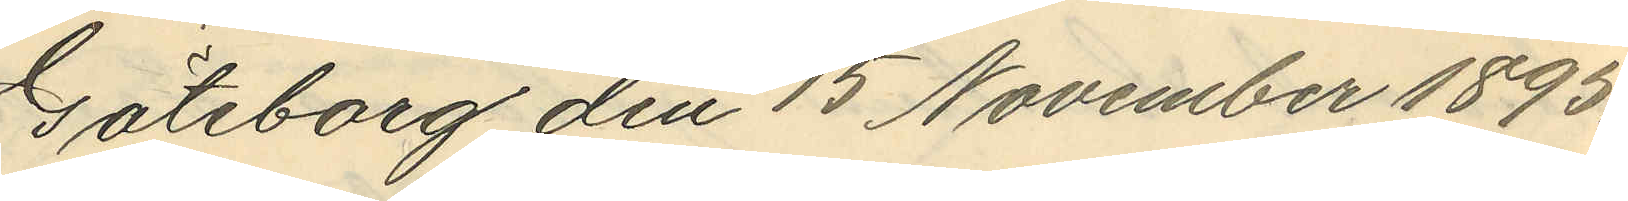Göteborg den 15 November 1895.
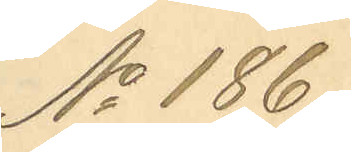No 186.
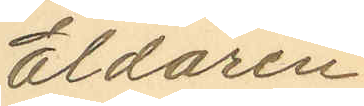Eldaren
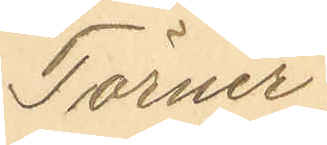Törner
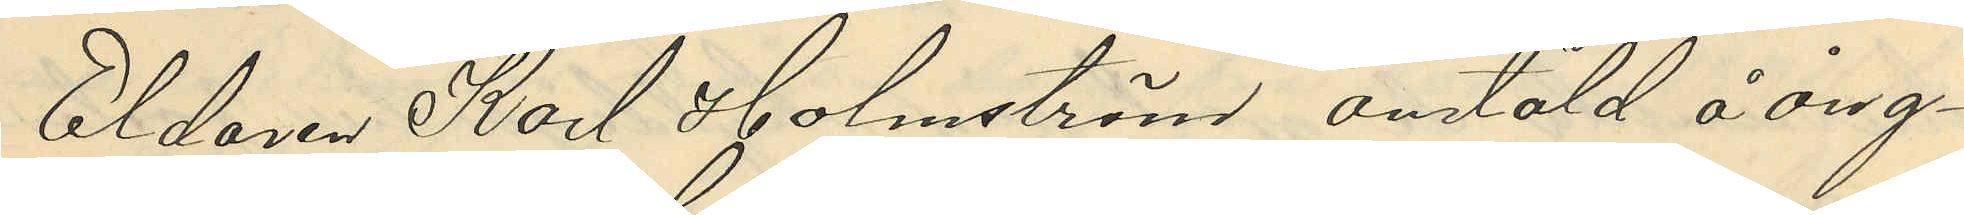Eldaren Karl Holmström anstäld å ång¬
